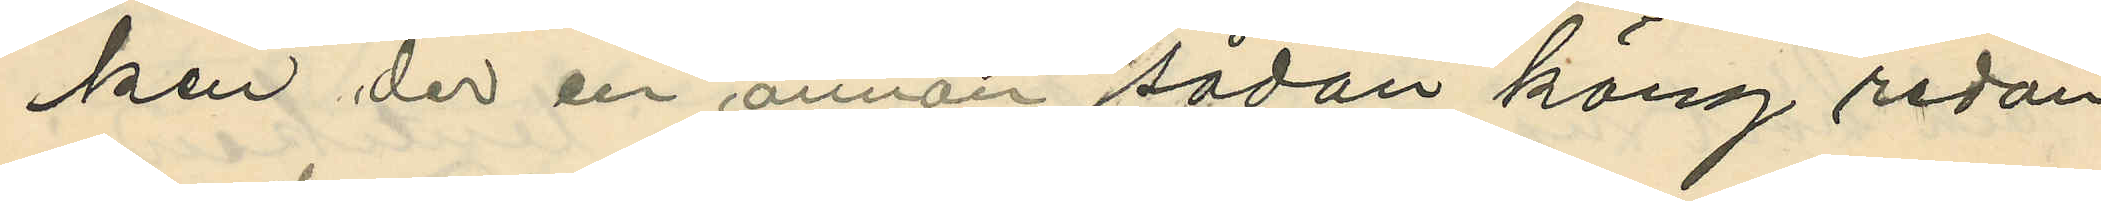ken der en annan sådan käng redan
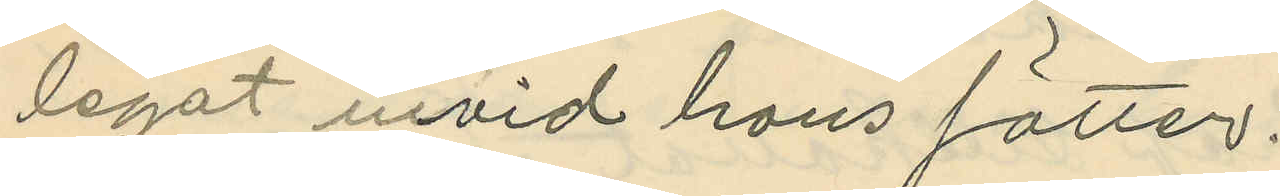legat invid hans fötter.
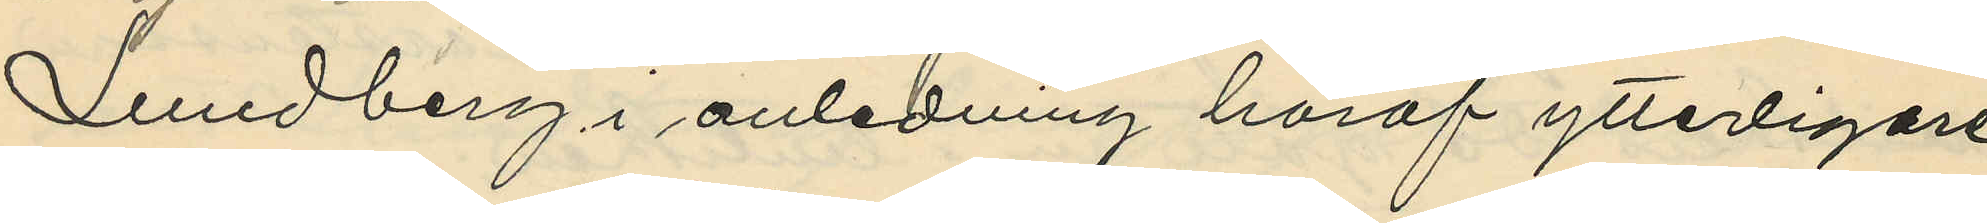Lundberg i anledning häraf ytterligare
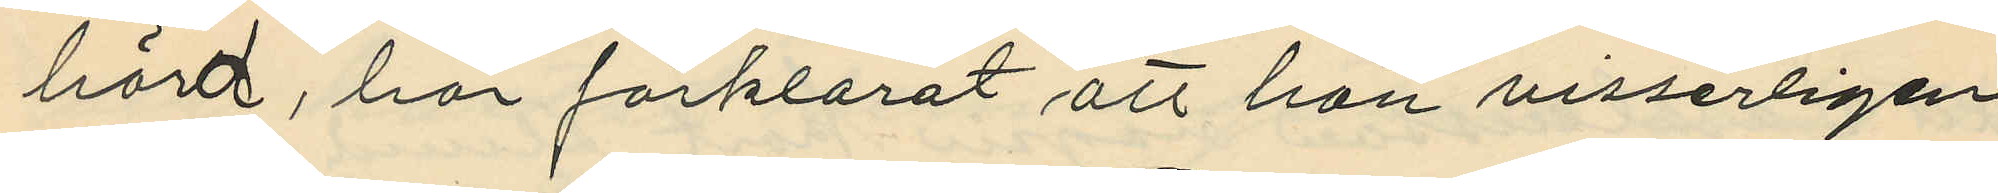hörd, har förklarat att han visserligen
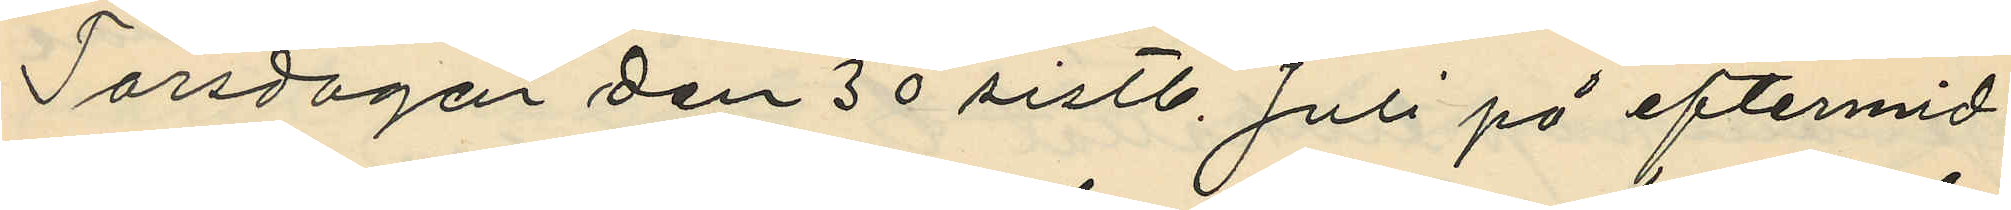Torsdagen den 30 sistl. Juli på eftermid¬
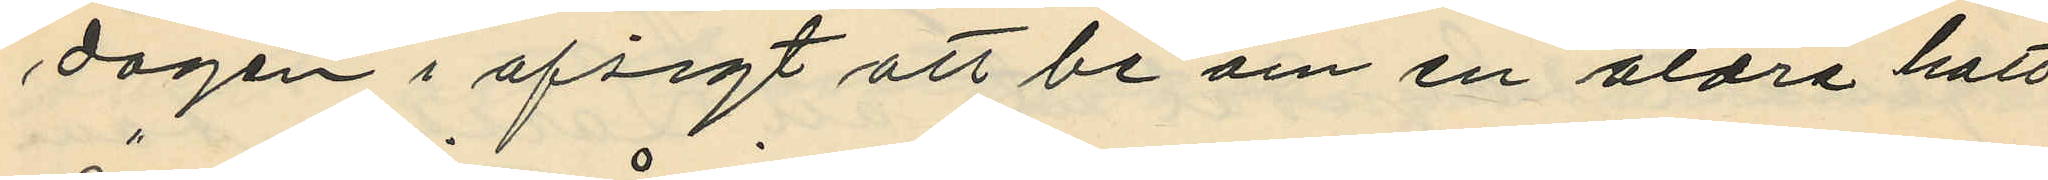dagen i afsigt att be om en äldre hatt
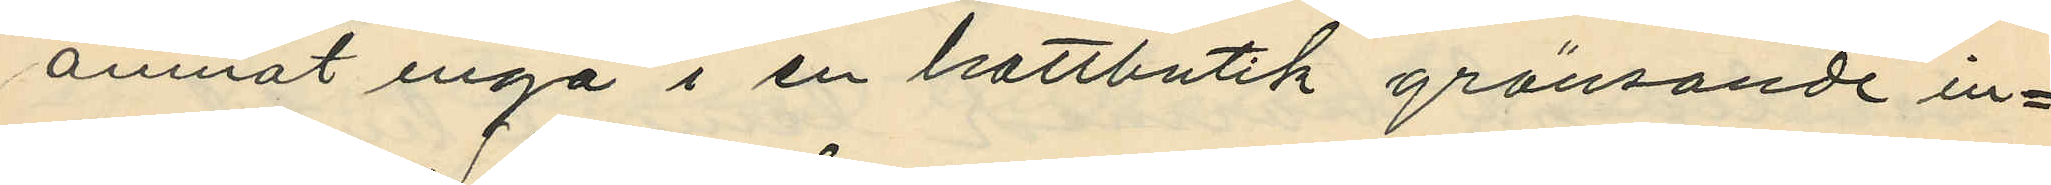ämnat ingå i en hattbutik gränsande in¬
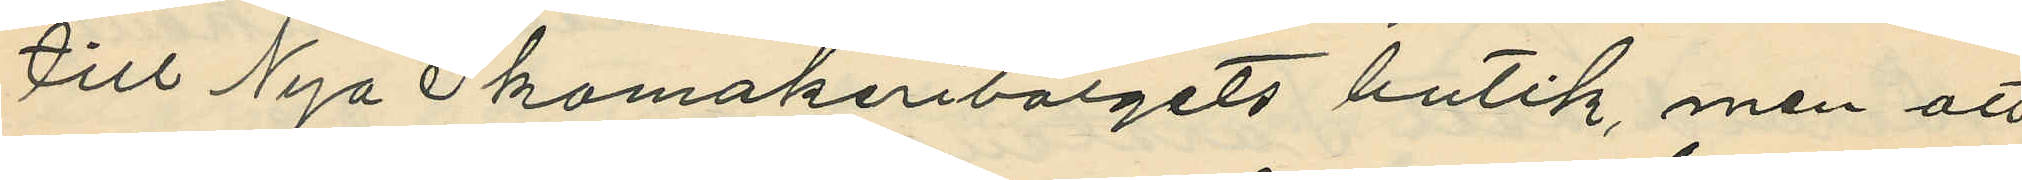till Nya Skomakeriborgets butik, men att
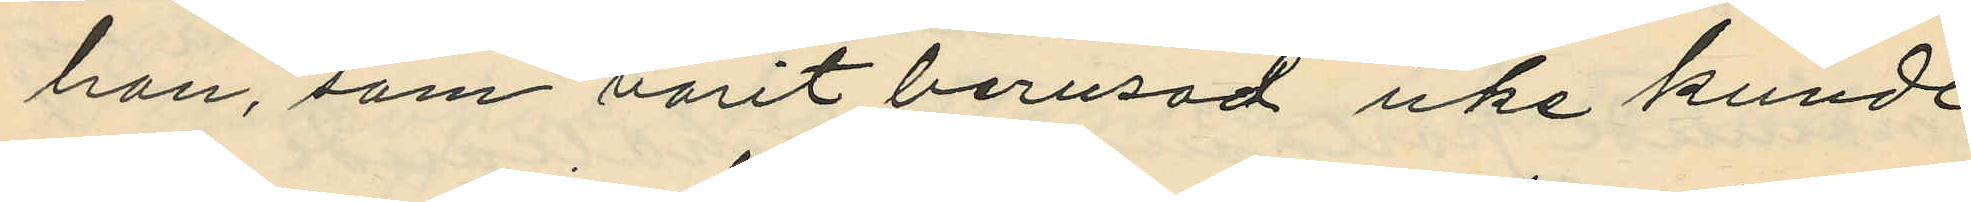han, som varit berusad icke kunde
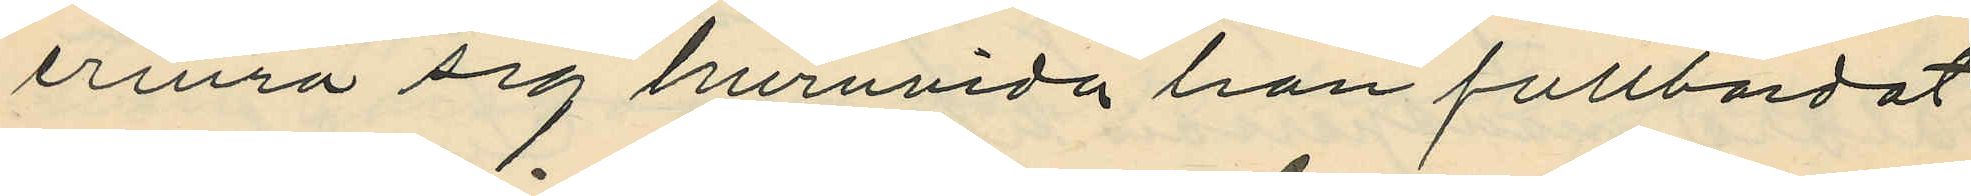erinra sig huruvida han fullbordat
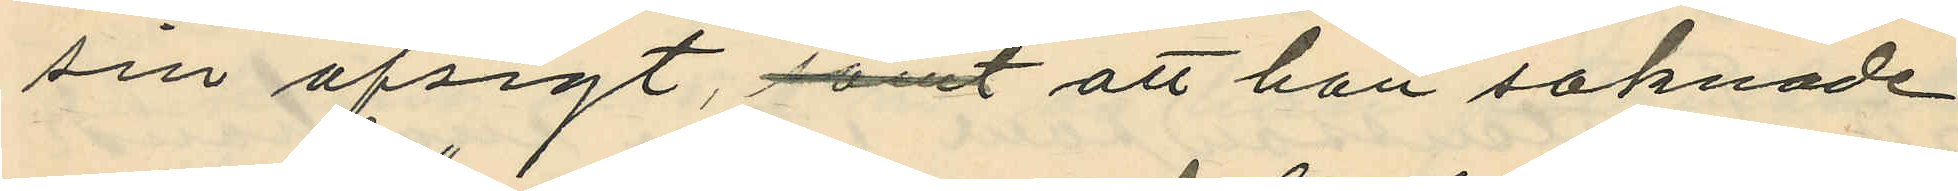sin afsigt, samt att han saknade
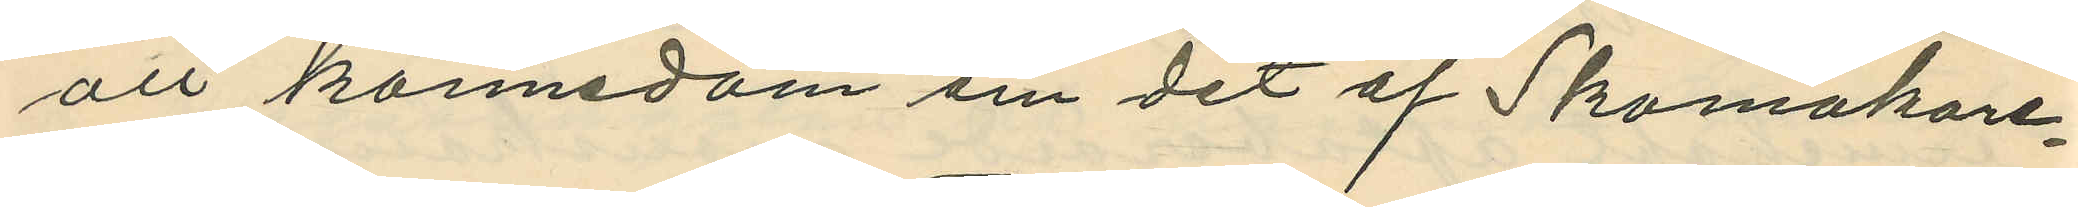all kännedom om det af Skomakare¬
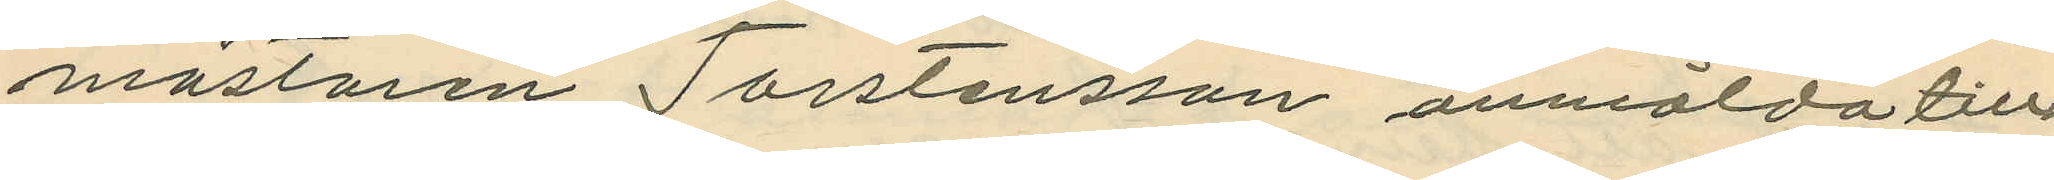mästaren Torstensson anmälda till¬
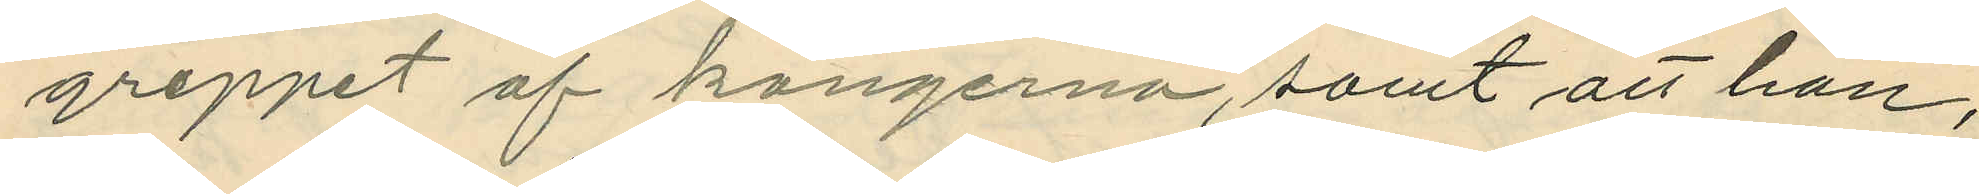greppet af kängerna, samt att han,
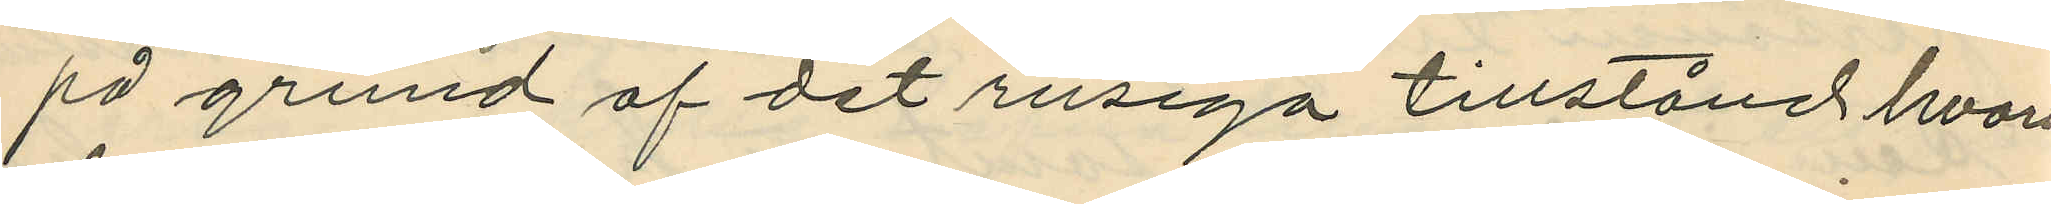på grund af det rusiga tillstånd hvari
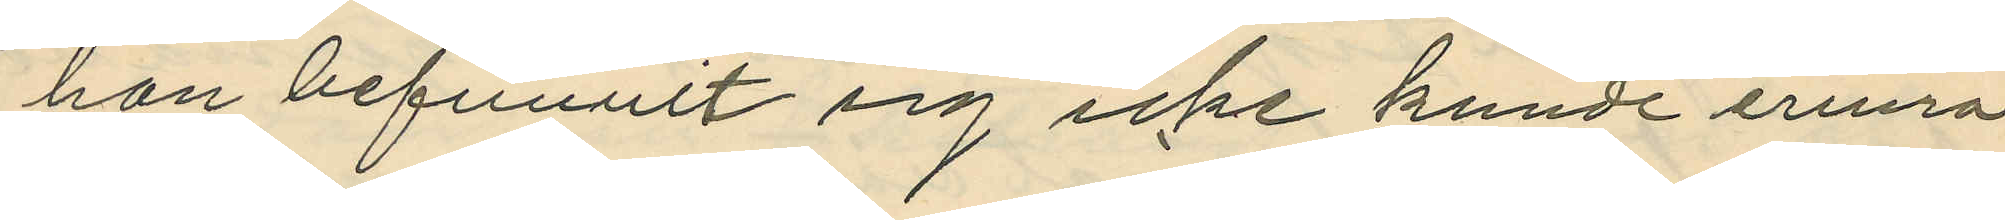han befunnit sig icke kunde erinra
